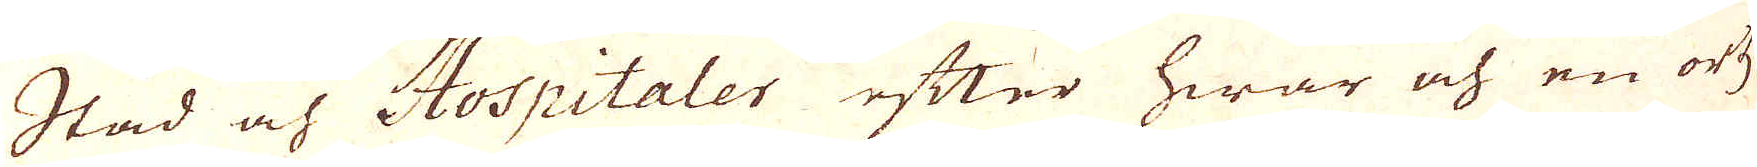Stad och Hospitaler efter hwar och en ortz
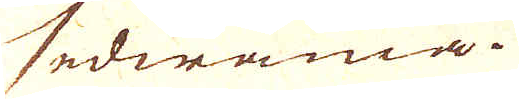sedwänia.
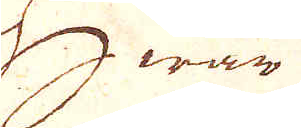Hwar
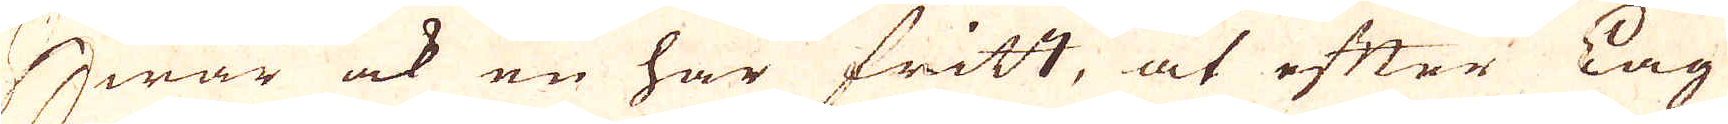Hwar ock en har fritt, at efter Lag
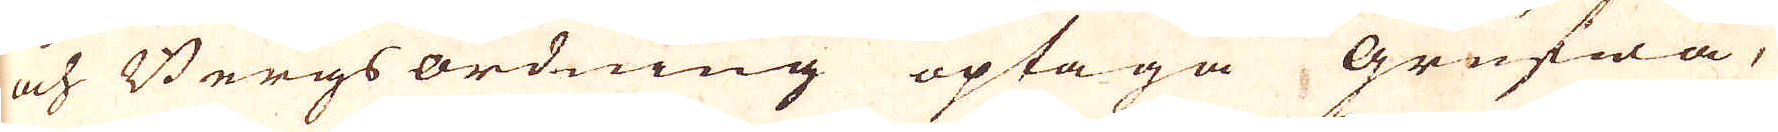och Bergs ordning optaga grufwa,
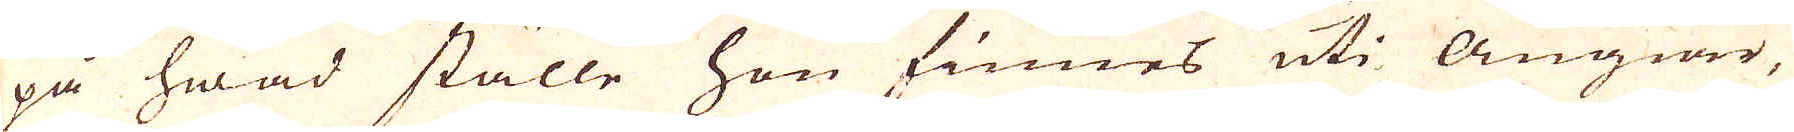på hwad ställe hon finnes uti Ängiar,
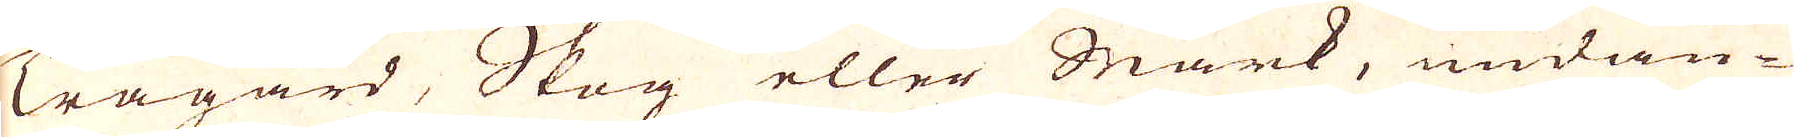Trägård, Skog eller Mark, undan-
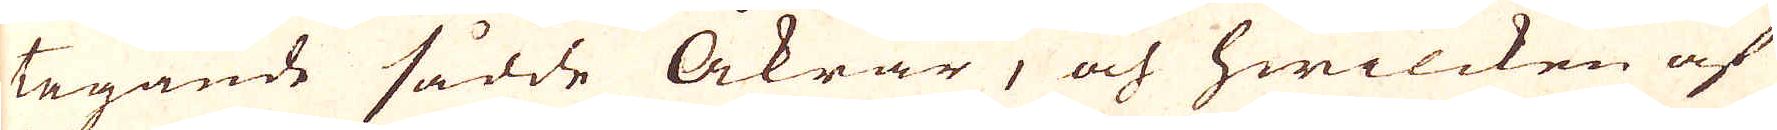tagande sådde Åkrar, och hwilcken af
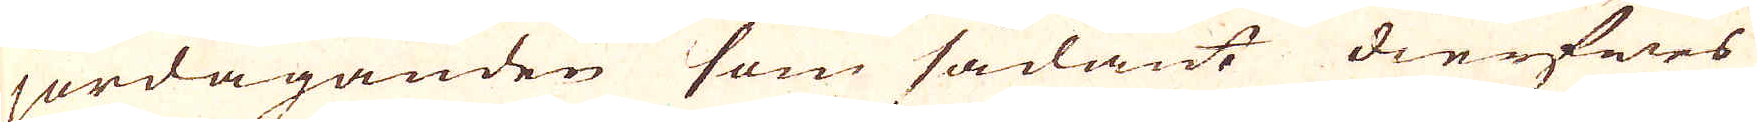jordäganden som sådant dierfwes
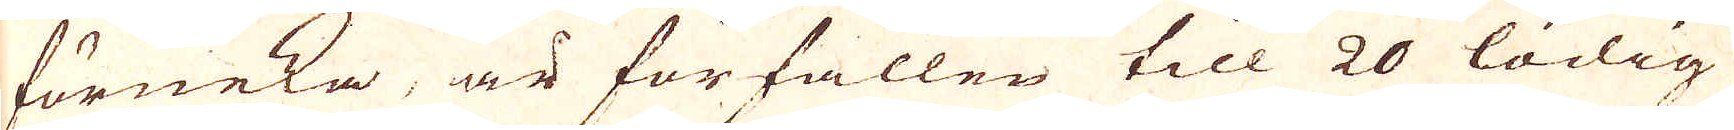förneka, är förfallen till 20 lödig
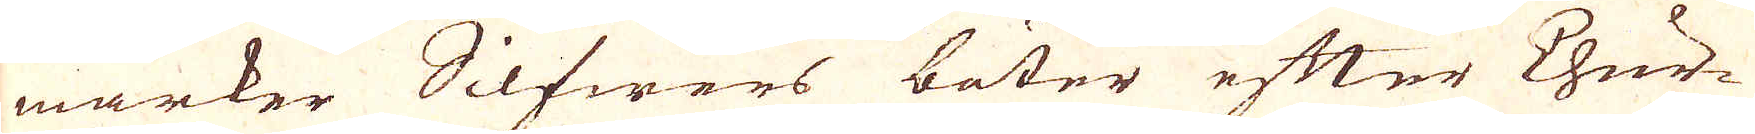marker Silfwers böter efter Chur-
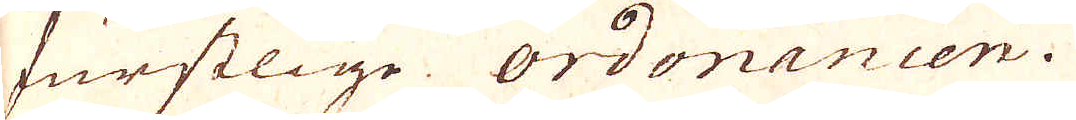furstlige ordonancen.
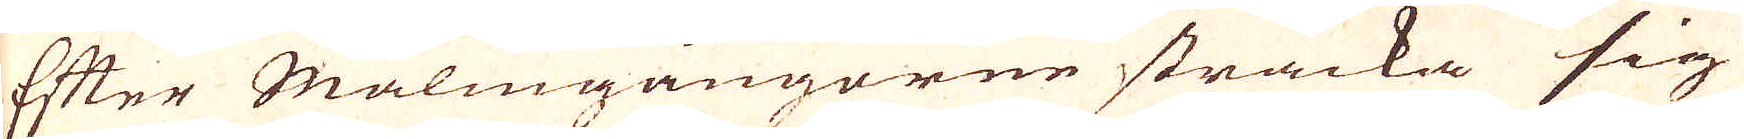Efter Malmgångorne sträcka sig
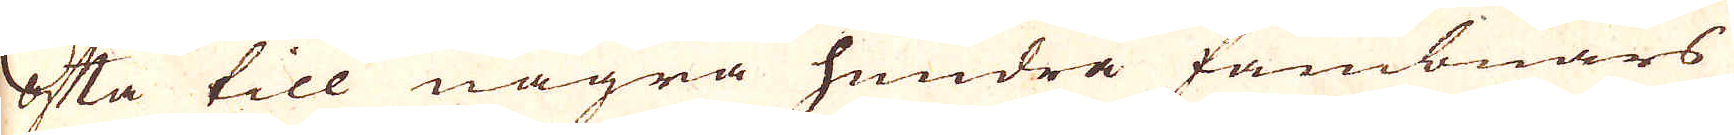ofta till några hundra fambnars
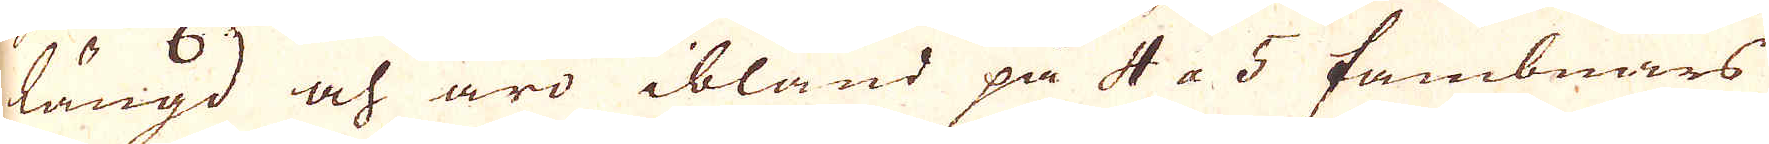längd och äro ibland på 4 a 5 fambnars
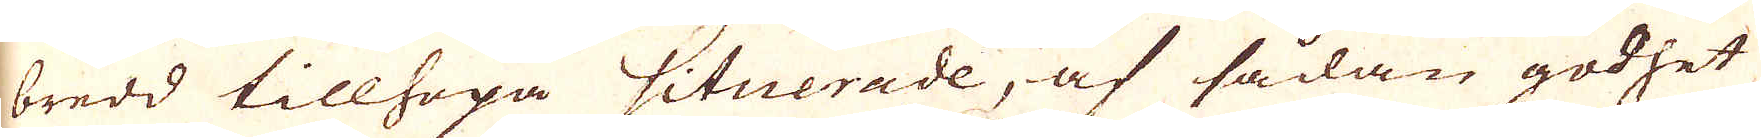bredd tillhopa situerade, af sådan godhet
